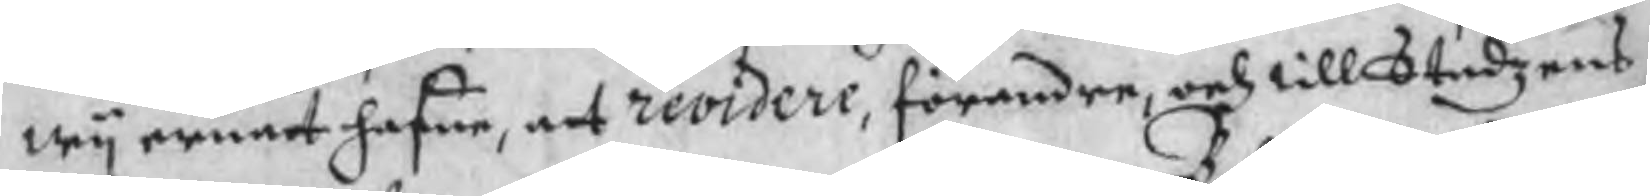wy ernat hafue, att revidere, förendre, och till Stadzens
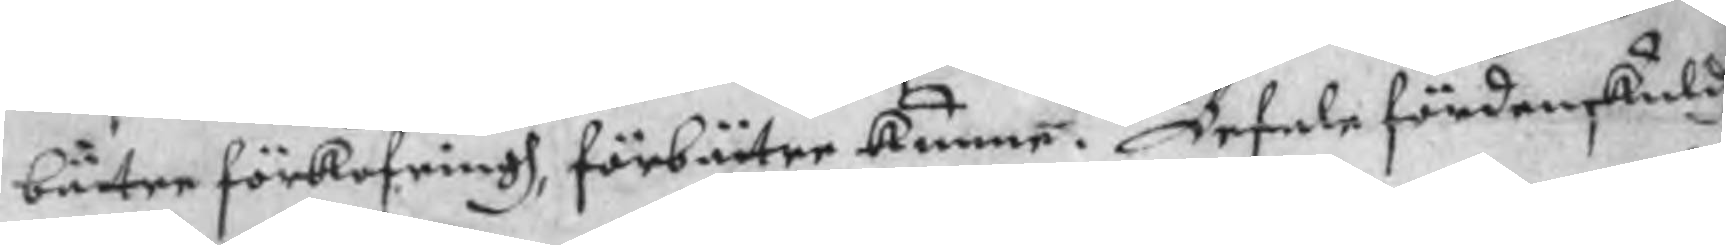bätre förkofringh, förbätre kunne. Befale fördenskuldh
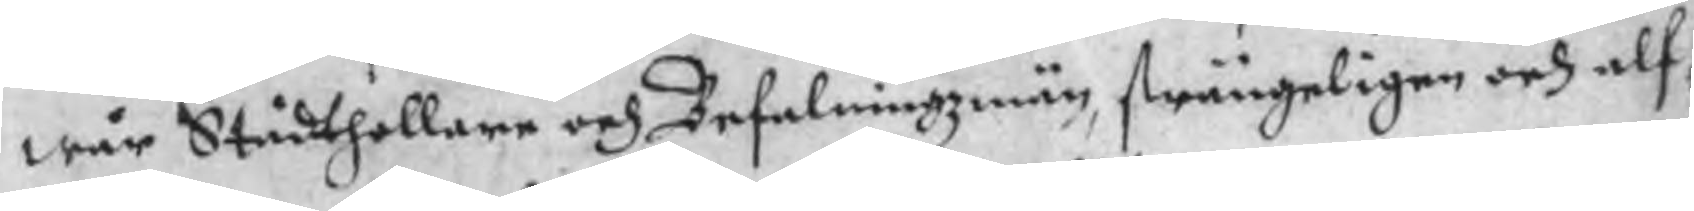wår Stådthollare och Befalningzmän, strängeligen och alf¬
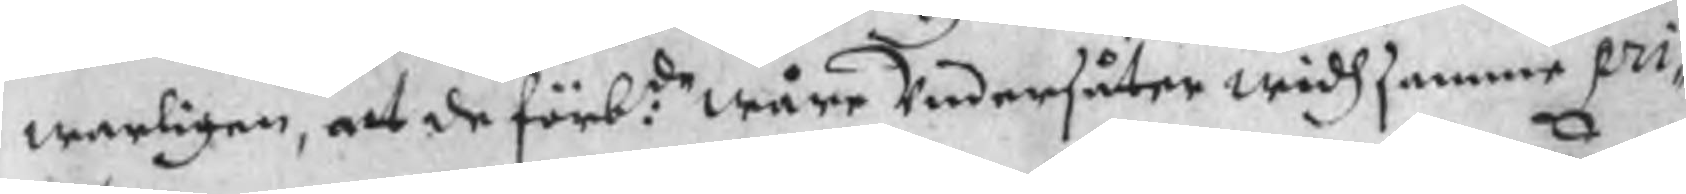warligen, att de förb:de wåre Undersåter widh samme pri¬
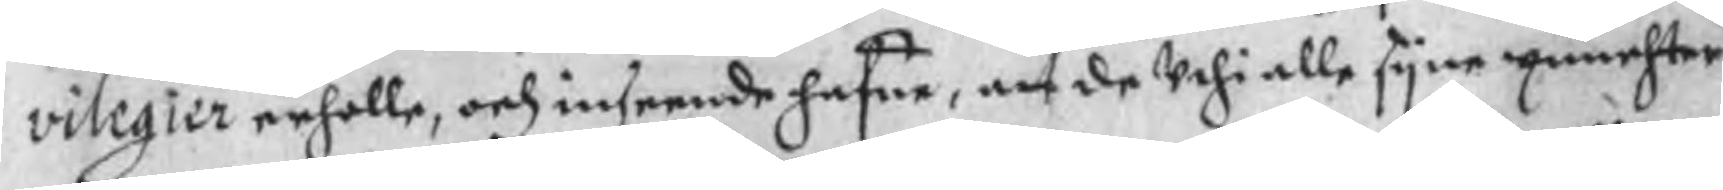vilegier erholle, och inseende hafue, att de Uthi alle syne punchter
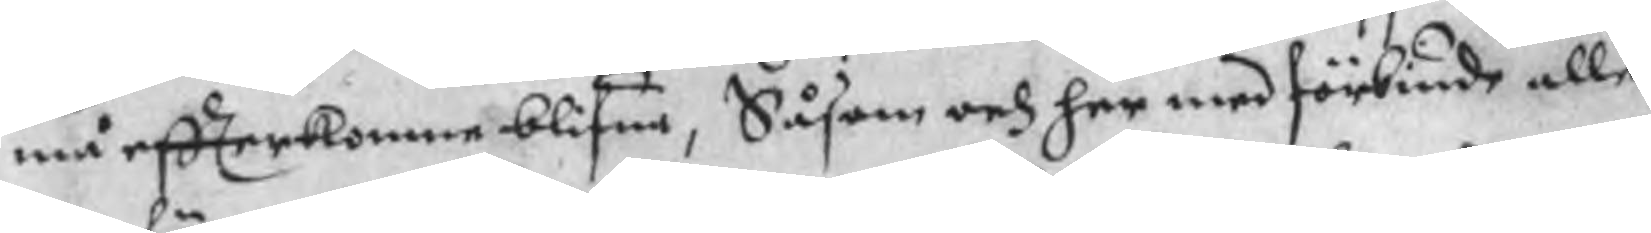må effterkomne blifua, Såsom och her med förbiude alle
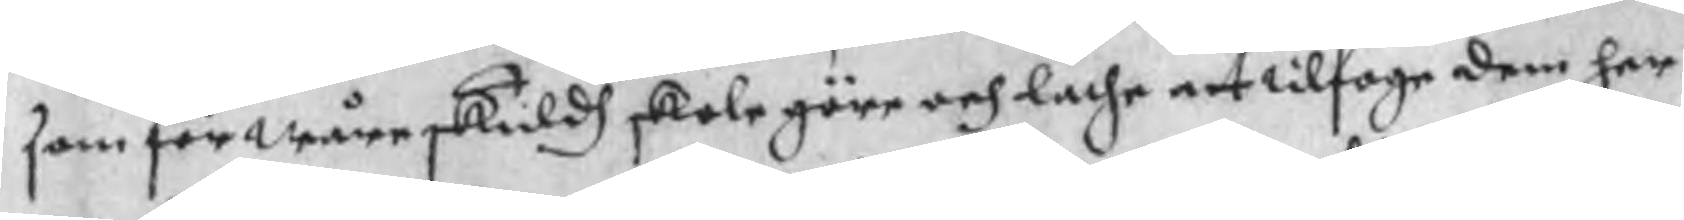som för wåre skuldh skole göre och lathe att tilfoge dem her
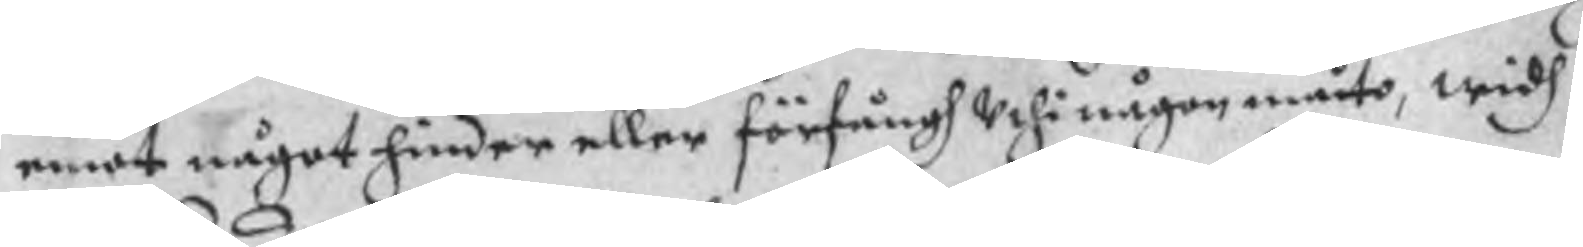emot något hinder eller förfångh Uthi någon måto, widh
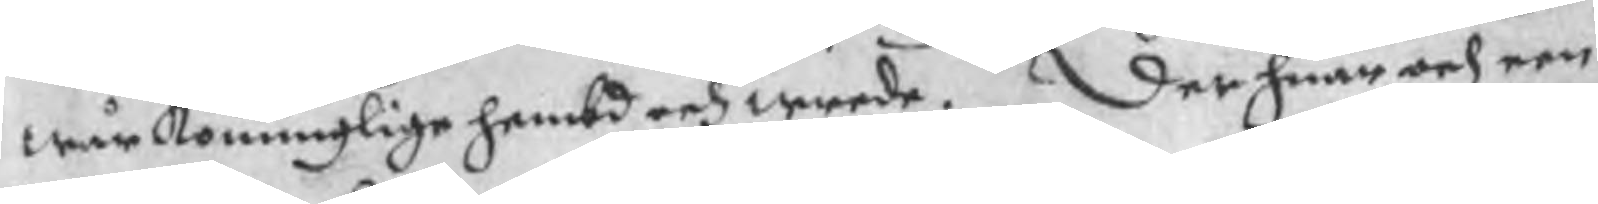wår Konunglige hembd och wrede. Der huar och een
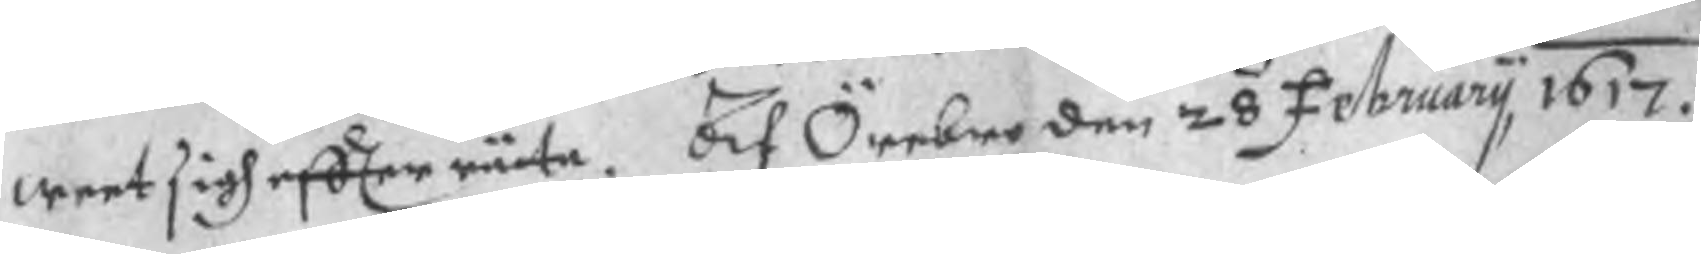weet sigh effterräta. Af Örebro den 28 February 1617.
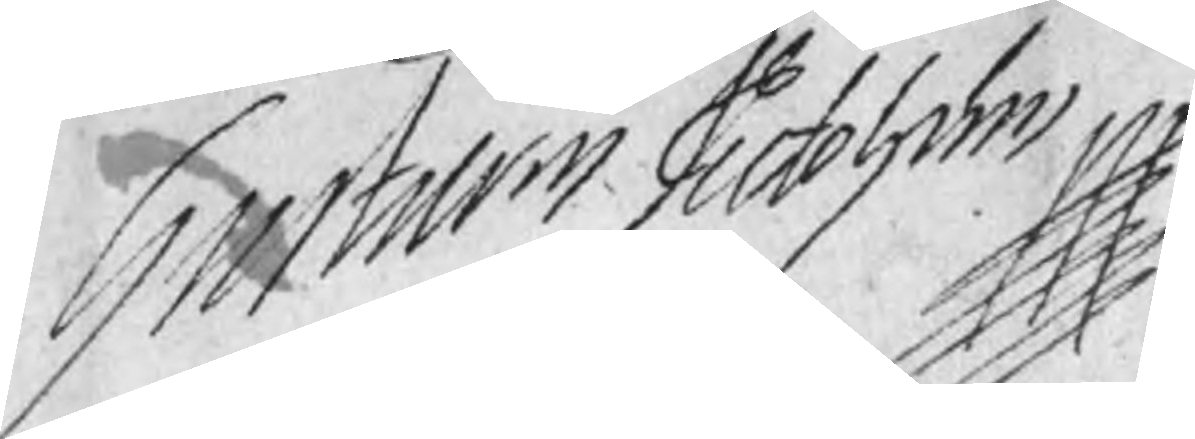Gustav Adolph
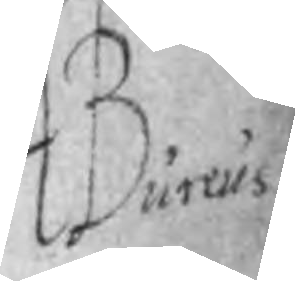Bureus
